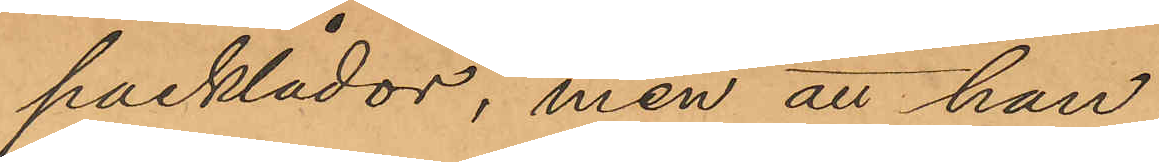packlådor, men att han
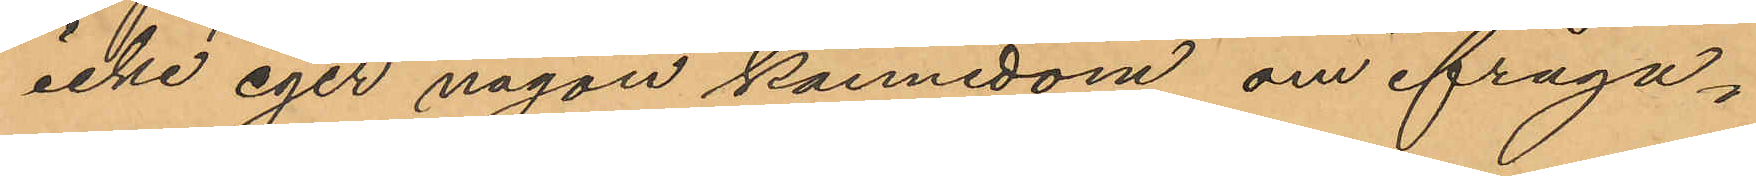icke eger någon kännedom om ifråga¬
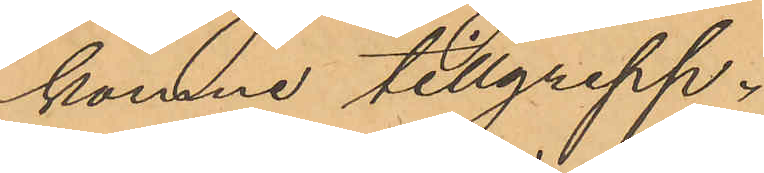komne tillgrepp.
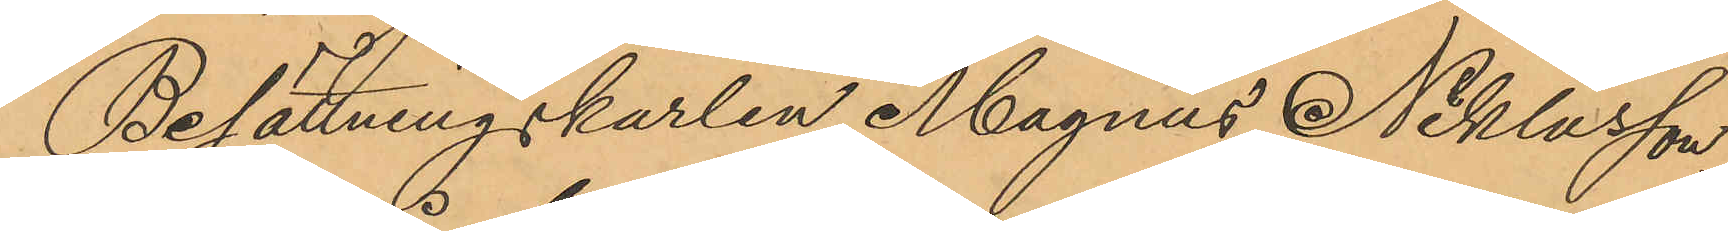Besättningskarlen Magnus Niklasson,
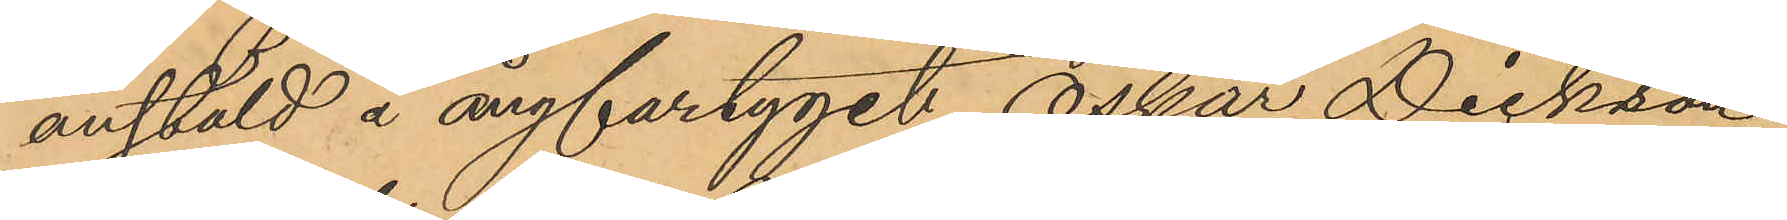anstäld å ångfartyget Oskar Dickson
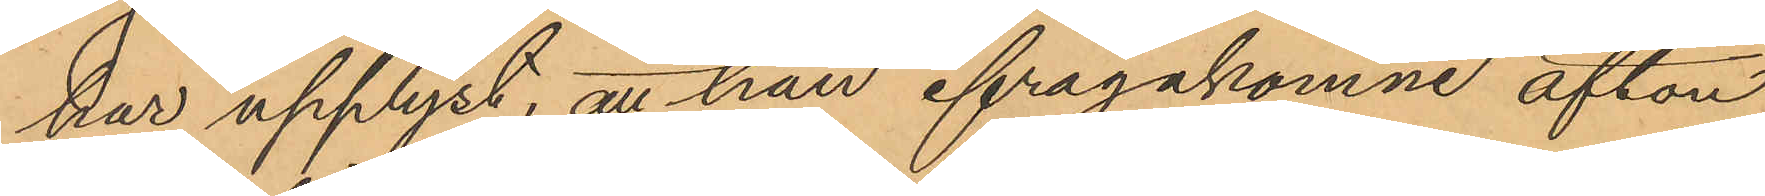har upplyst, att han ifrågakomne afton
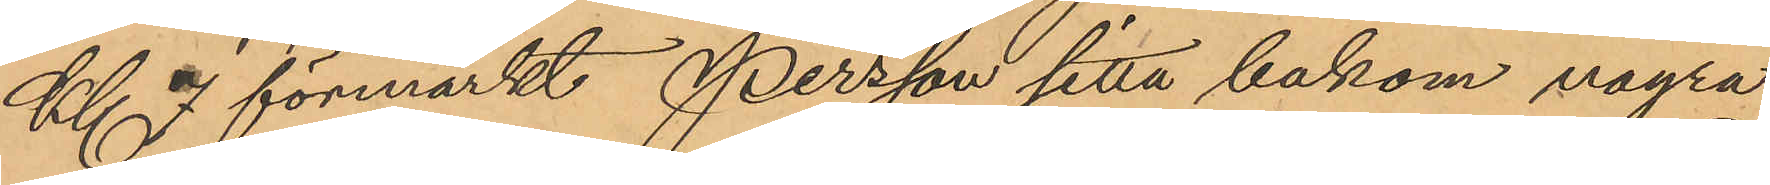Kl 7 förmärkt Persson sitta bakom några
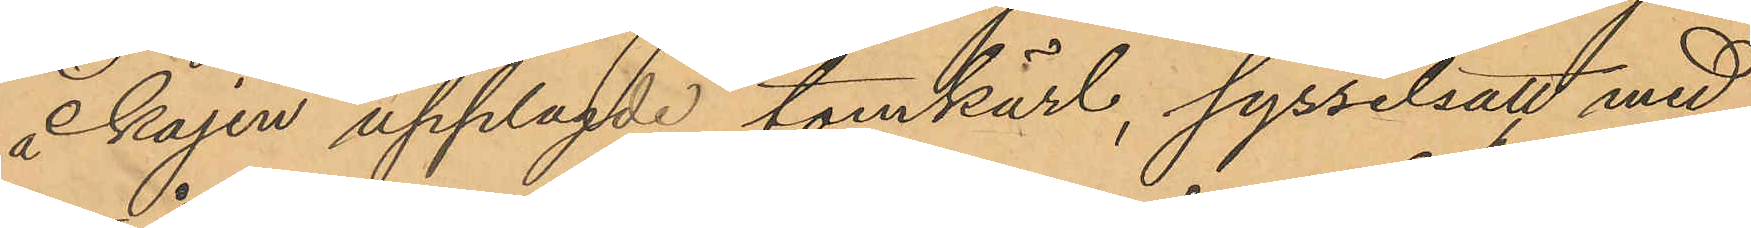å kajen upplagde tomkärl, sysselsatt med
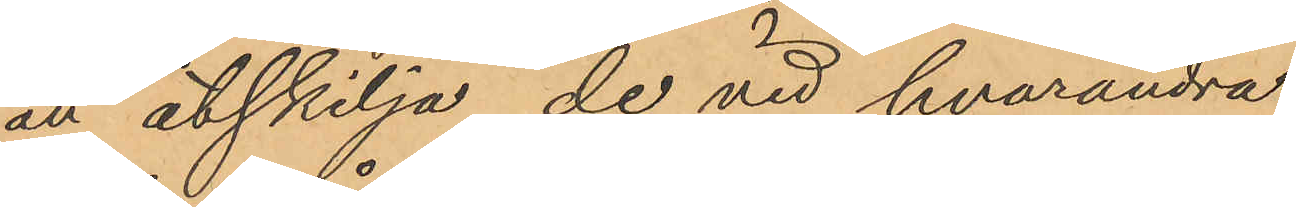att åtskilja de vid hvarandra
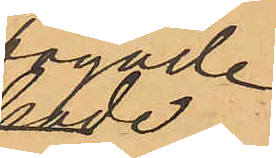fogade
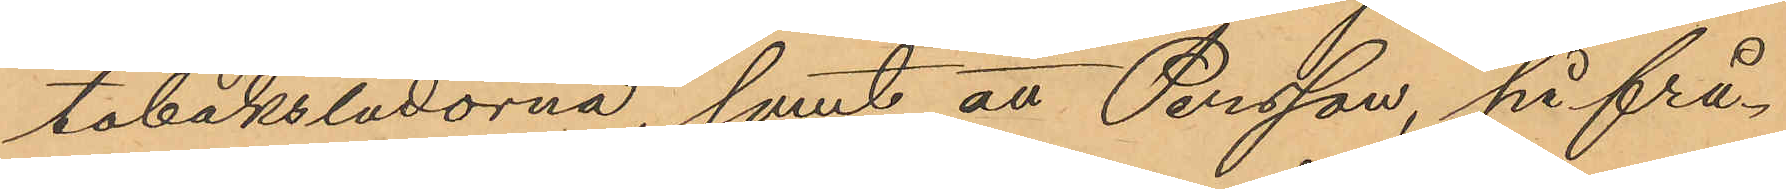tobakslådorna, samt att Persson, på frå¬
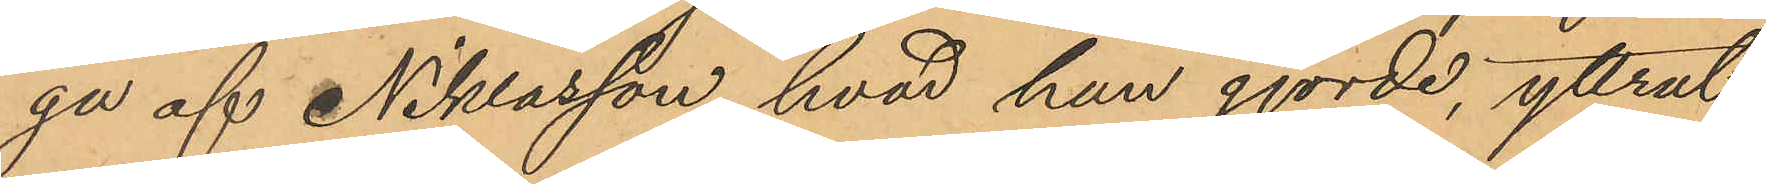ga af Niklasson, hvad han gjorde, yttrat
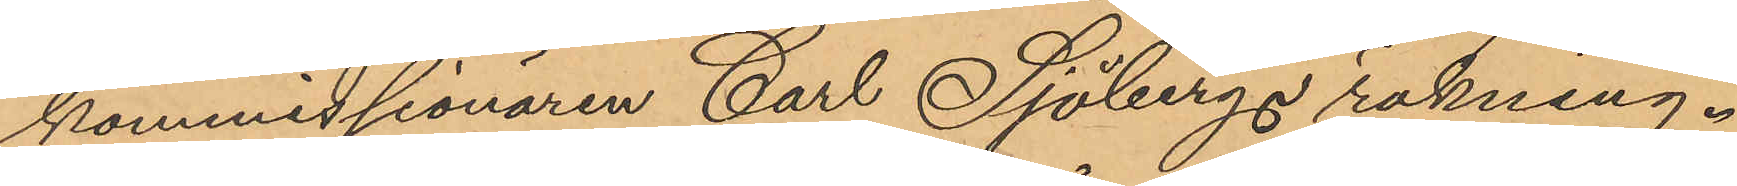kommissionären Carl Sjöbergs räkning.
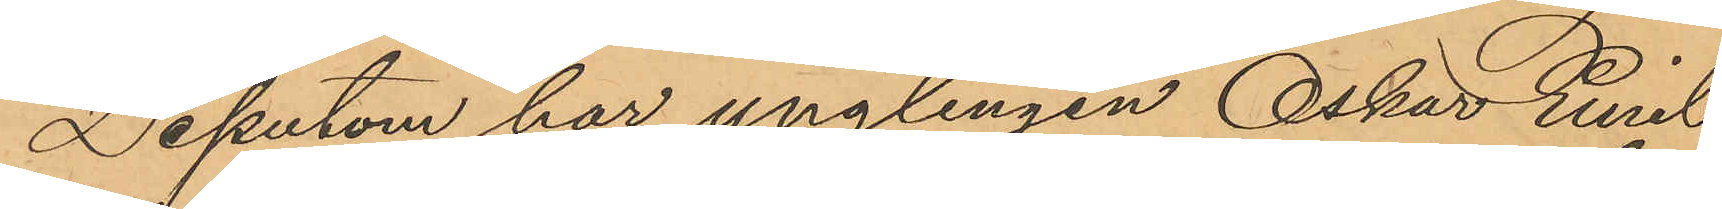Dessutom har ynglingen Oskar Emil
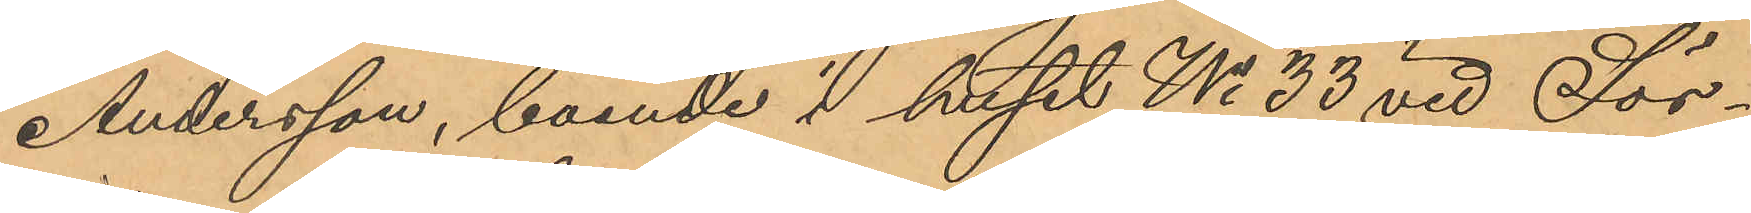Andersson, boende i huset No 33 vid Sör¬
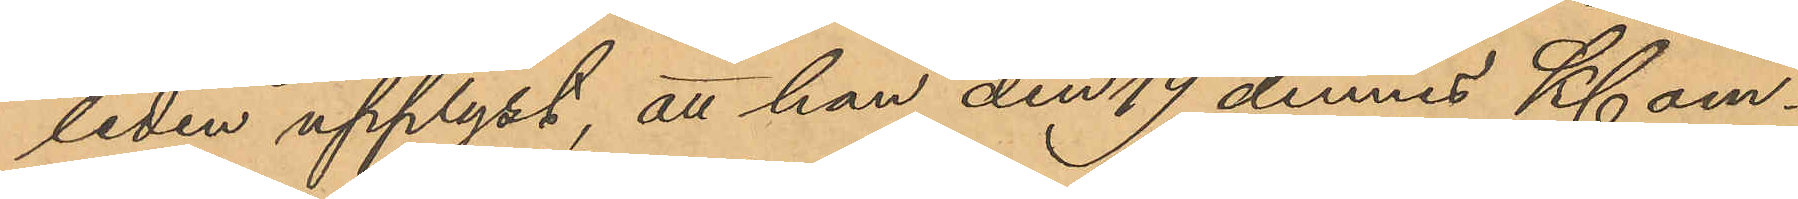liden upplyst, att han den 19 dennes Kl om¬
